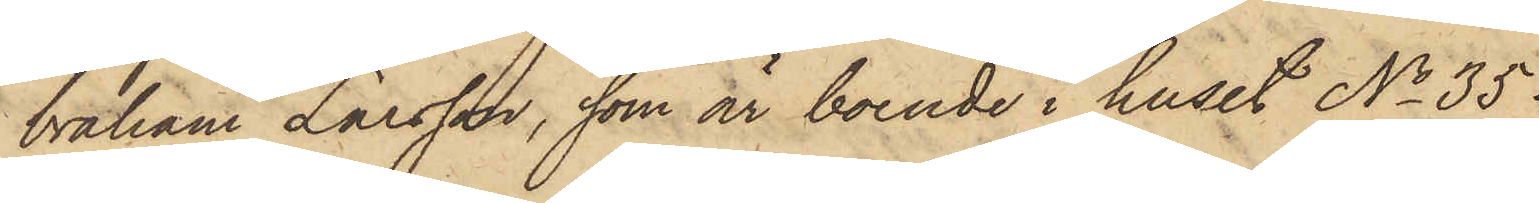braham Larsson, som är boende i huset No 35
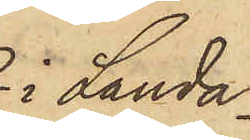 i Landa¬
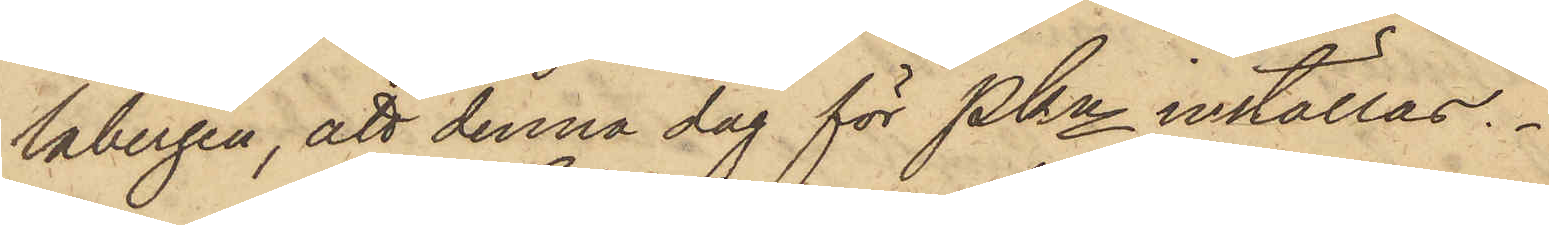labergen, att denna dag för PKn inställas.
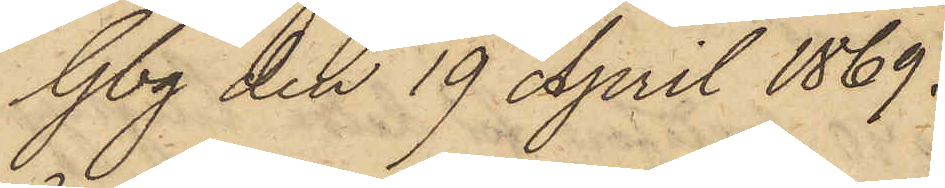Gbg den 19 April 1869.
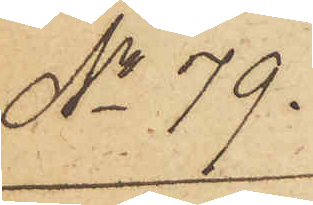No 79.
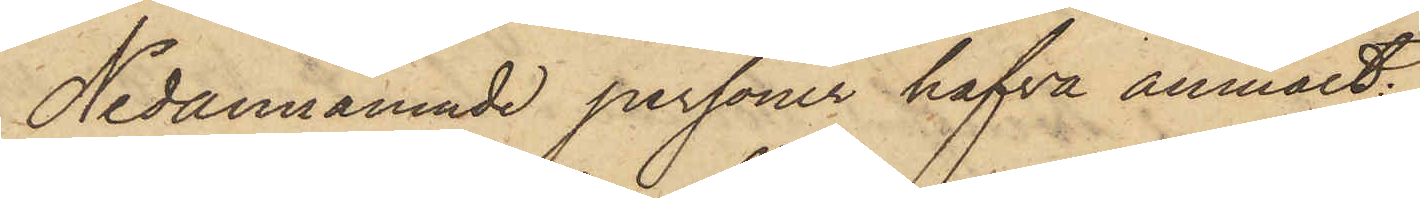Nedannämnde personer hafva anmält:
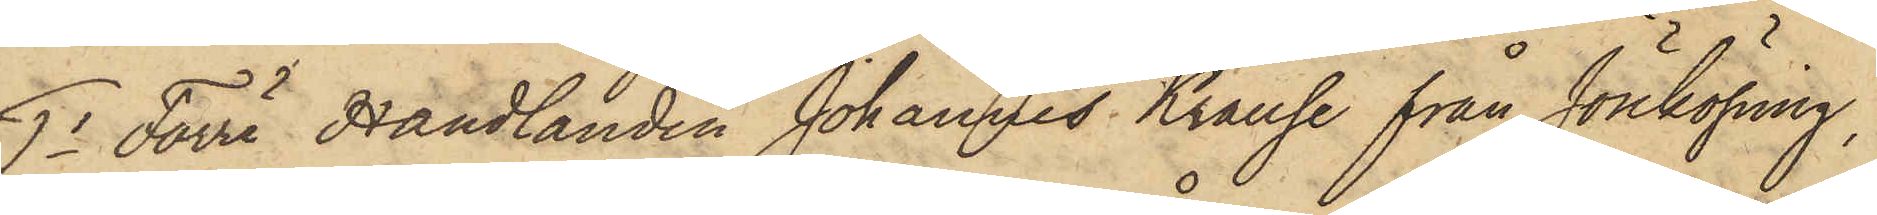1o Förre Handlanden Johannes Krause från Jönköping,
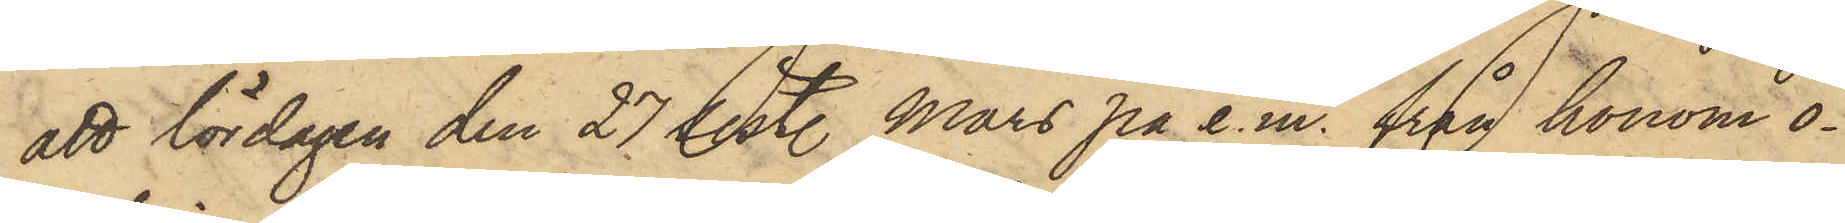att lördagen den 27 sist. Mars på e.m. från honom o¬
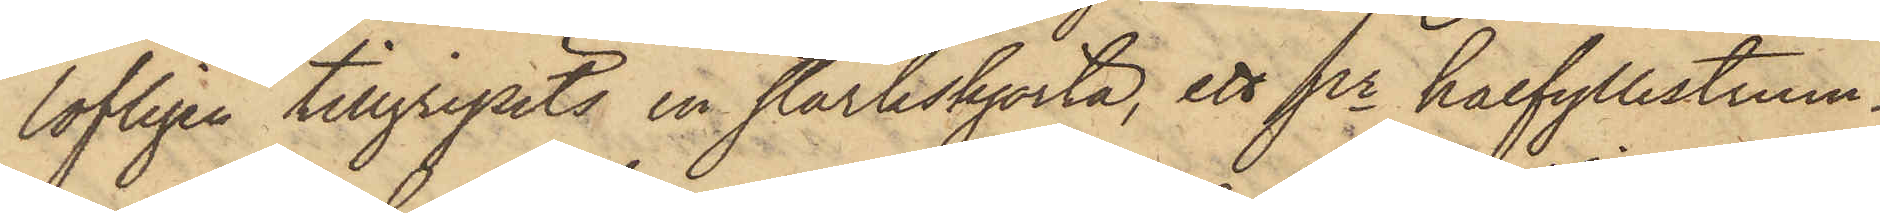lofligen tillgripits en stärkskjorta, ett pr halfyllestrum¬
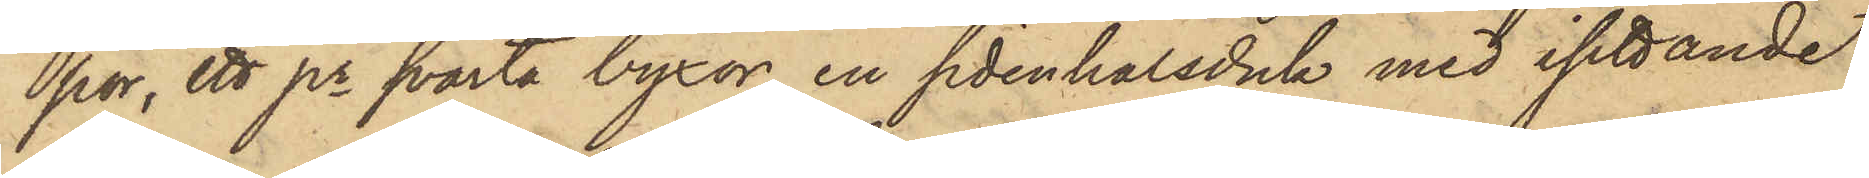por, ett pr svarta byxor, en sidenhalsduk med isittande
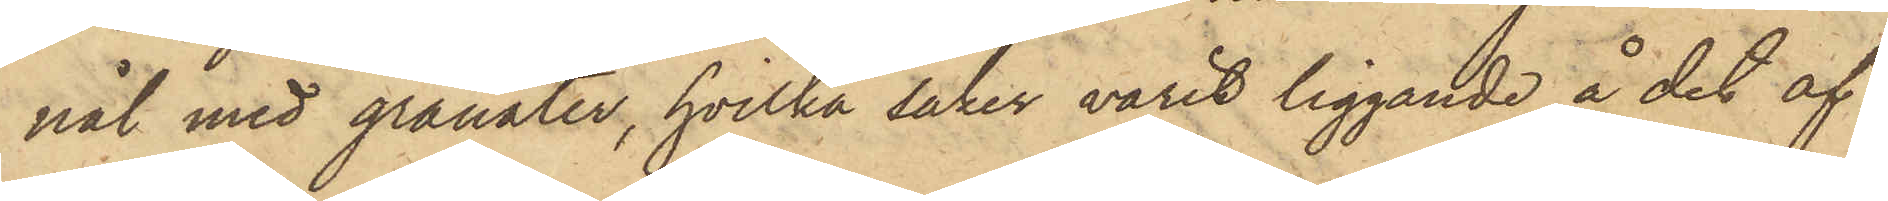nål med granater, hvilka saker varit liggande å det af
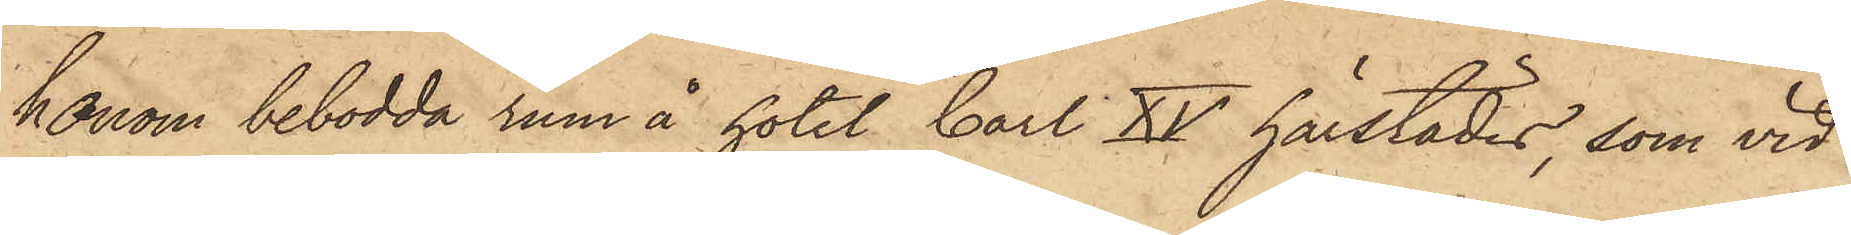honom bebodda rum å hotel Carl XV härstädes, som vid
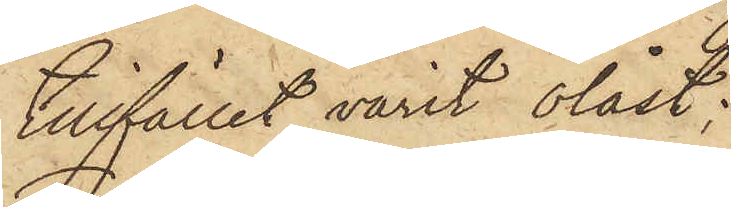tillfället varit olåst;
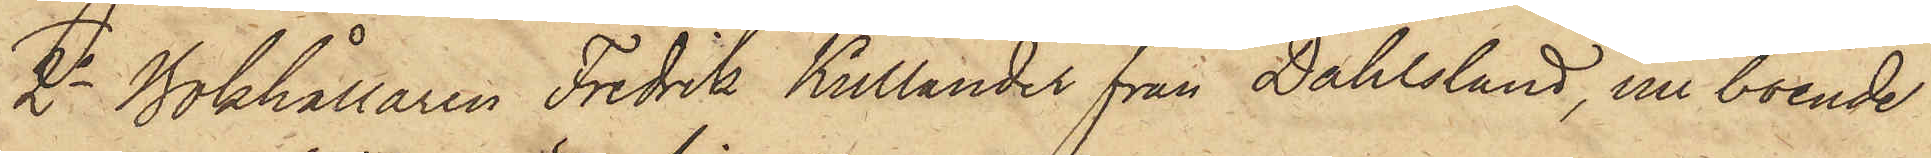2o Bokhållaren Fredrik Kullander från Dahlsland, nu boende
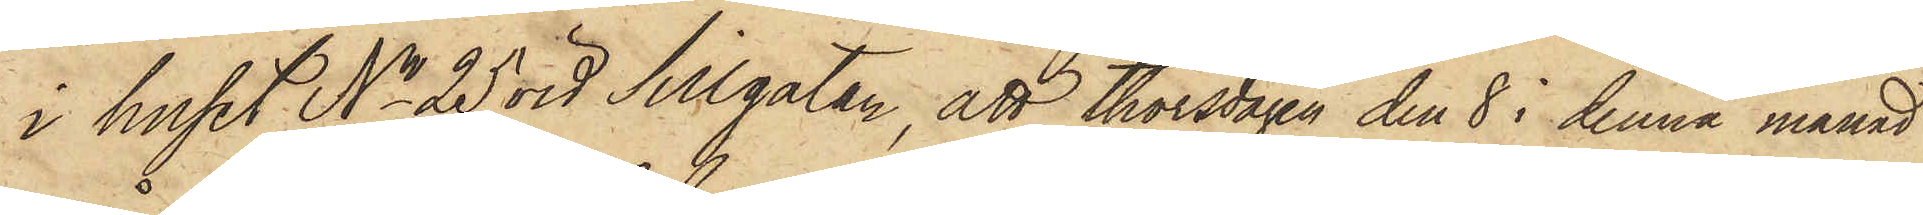i huset No 25 vid Silgatan, att thorsdagen den 8 i denna månad
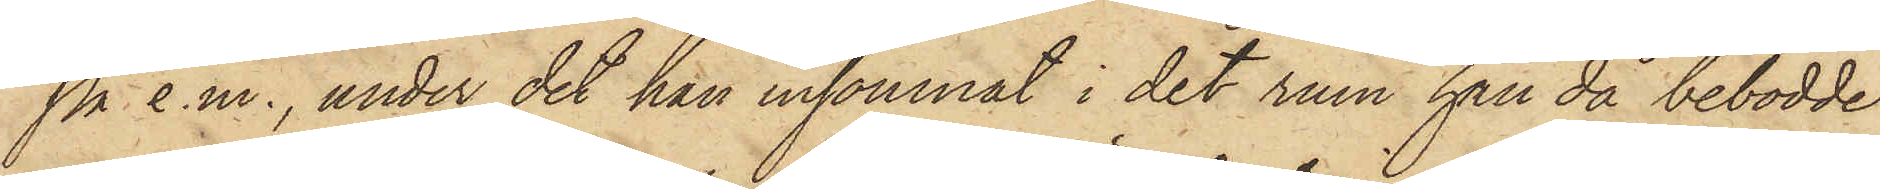på e.m., under det han insomnat i det rum han då bebodde
